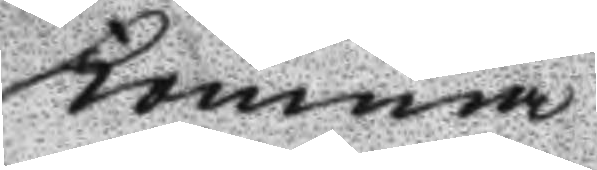komma
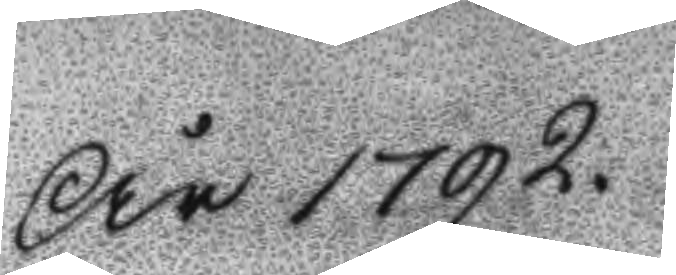År 1792.
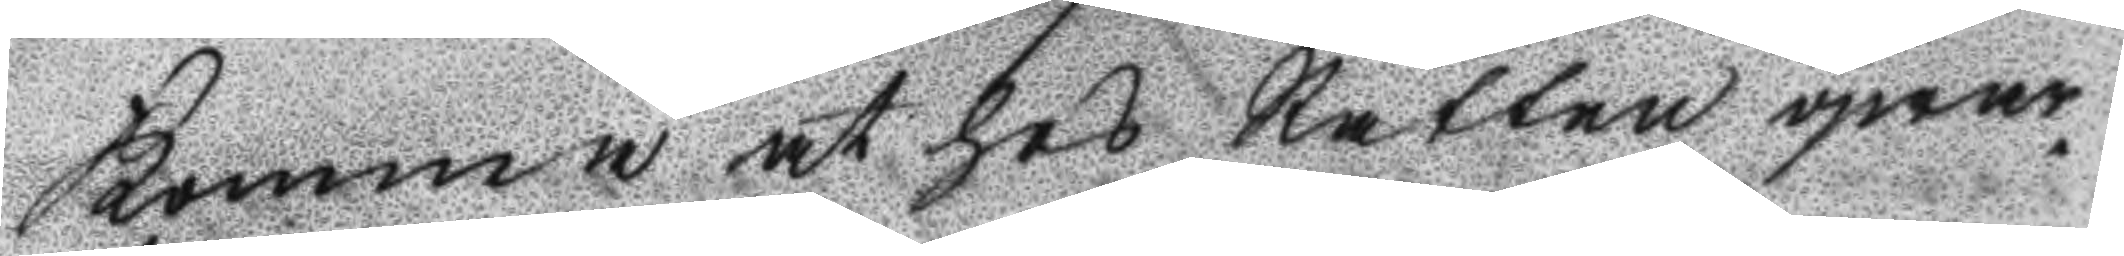Komma at hos Rätten qwar¬
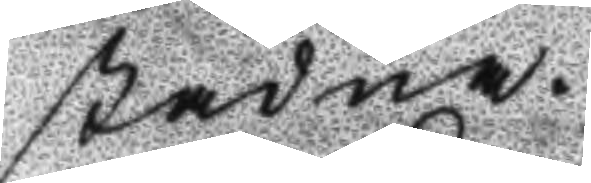stadna.
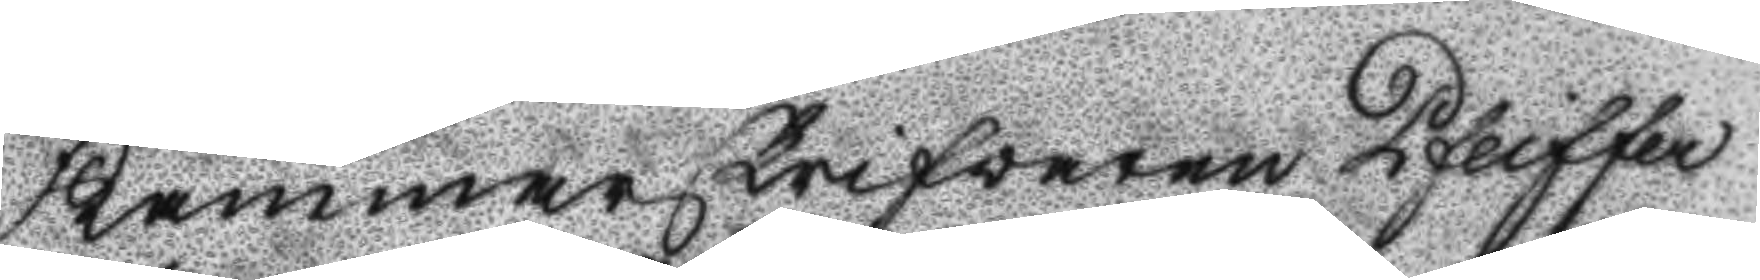Kammareskrifvaren Pfeiffer
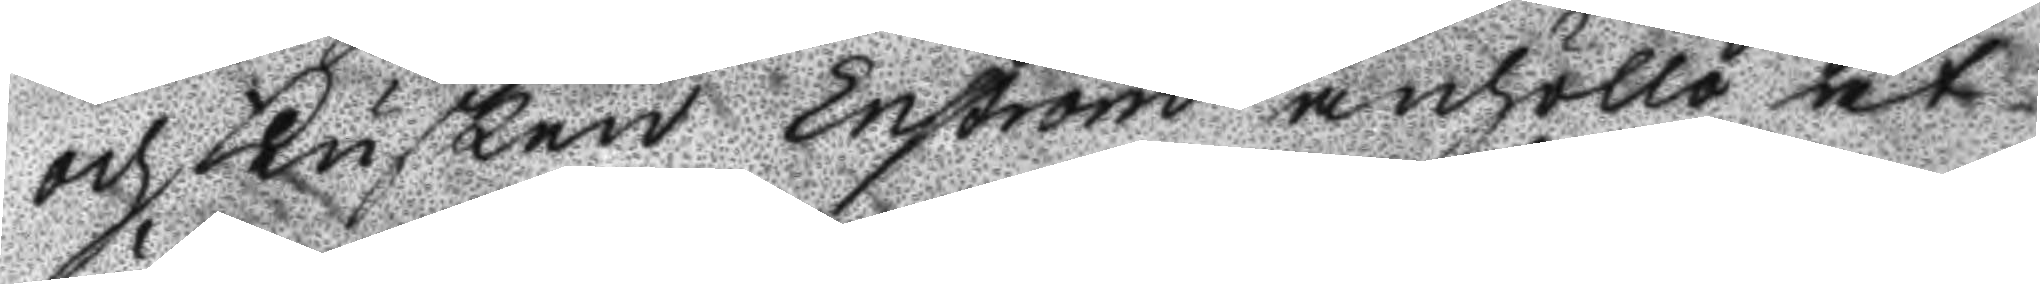och Kusken Enström anhöllo at
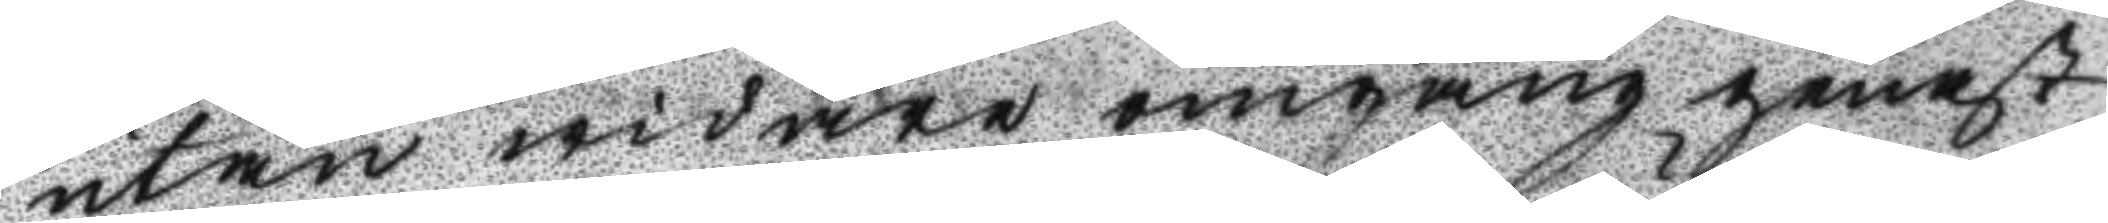utan widare omgång genast
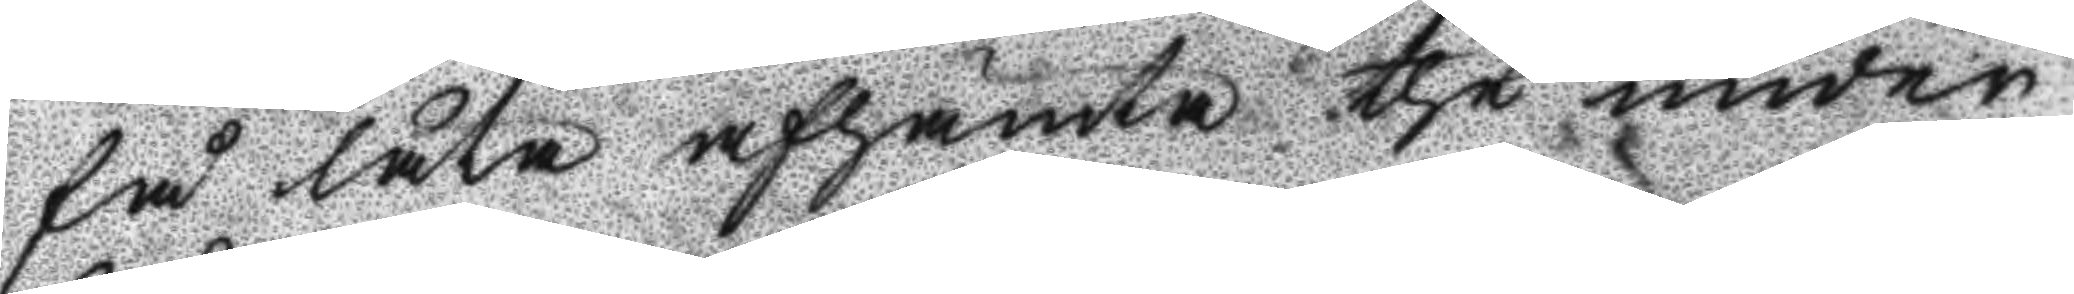få låta afhämta the under
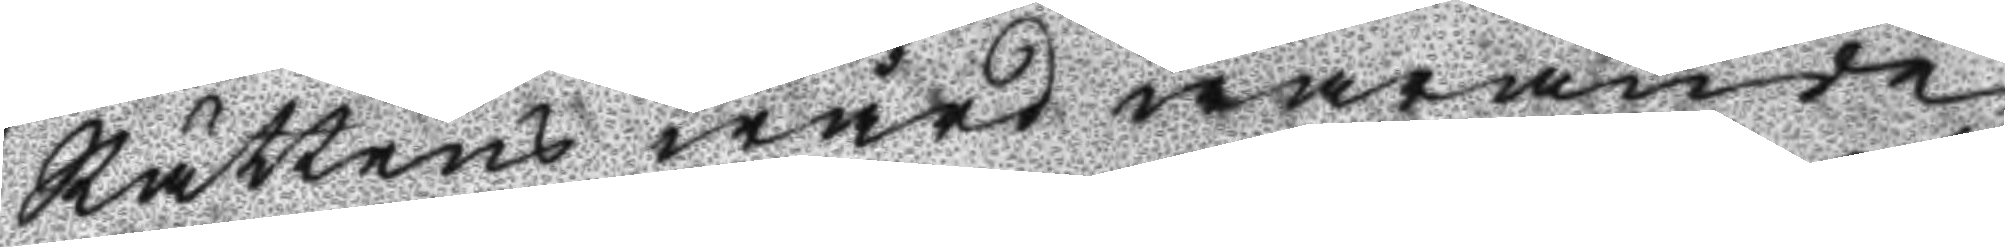Rättens wård warande
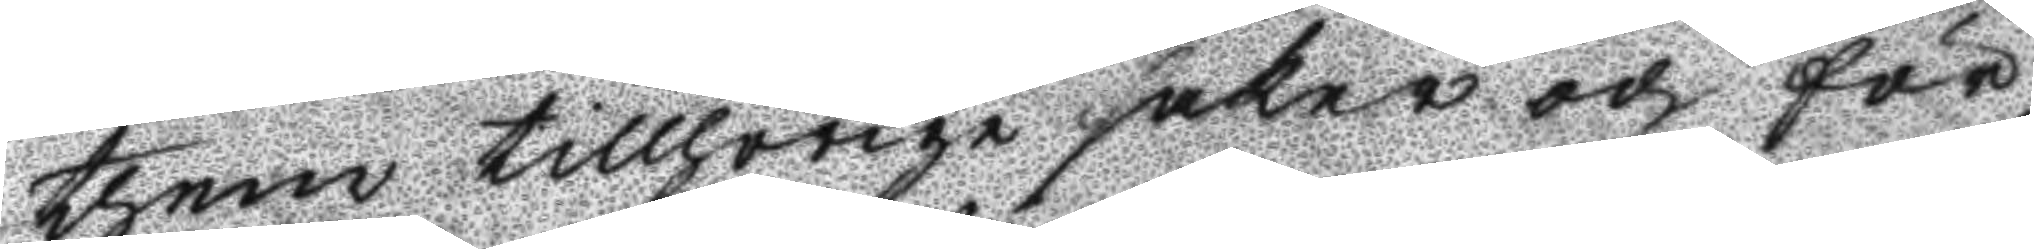them tillhörige saker och för¬
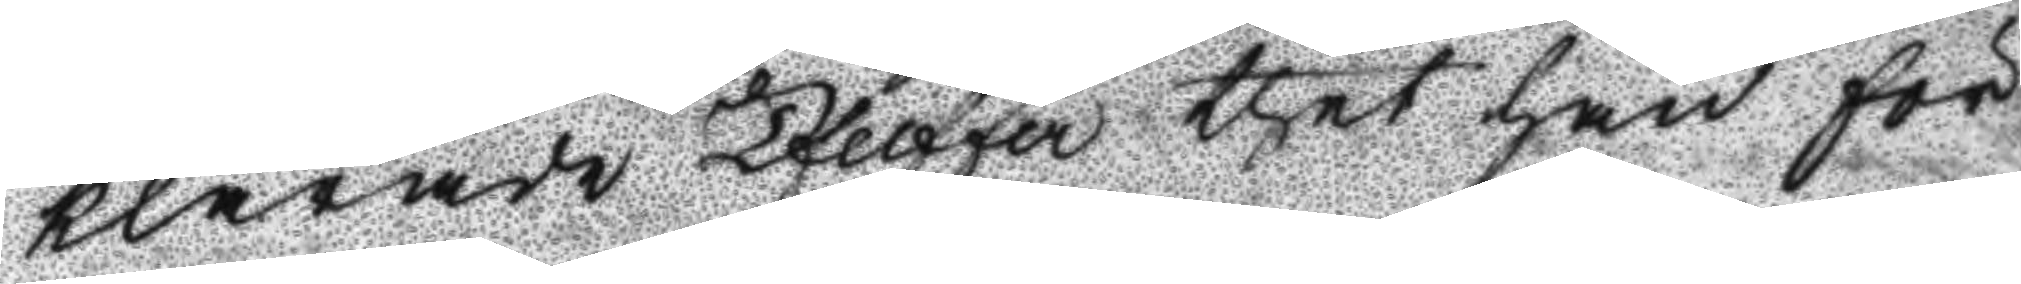klarade Pfeiffer thet han för
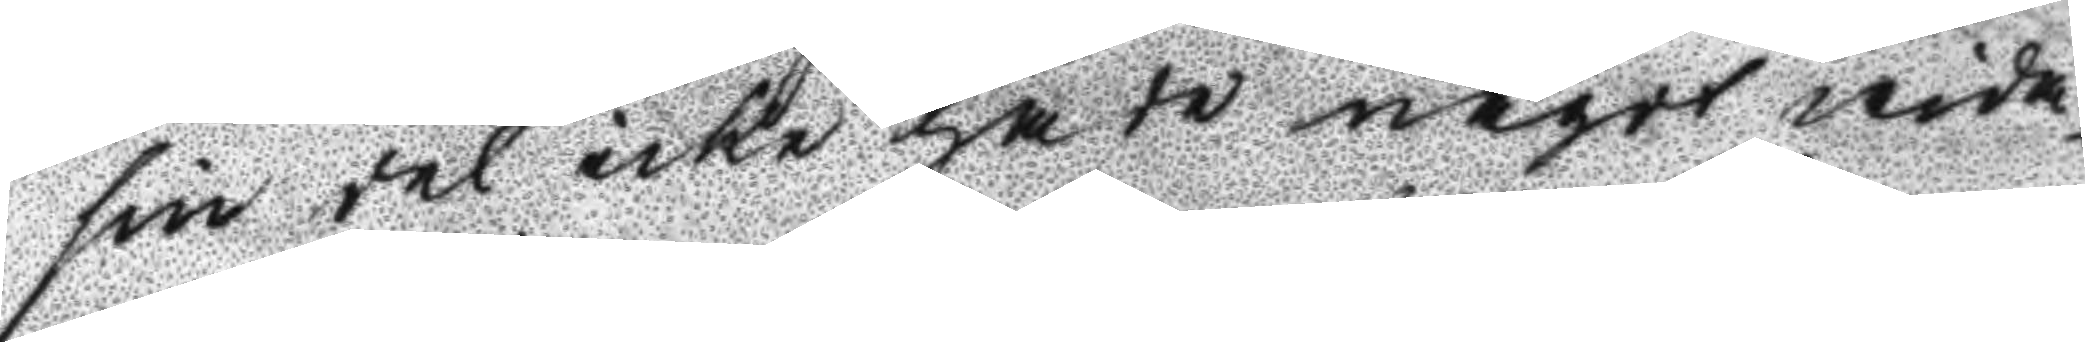sin del icke hade något wida¬
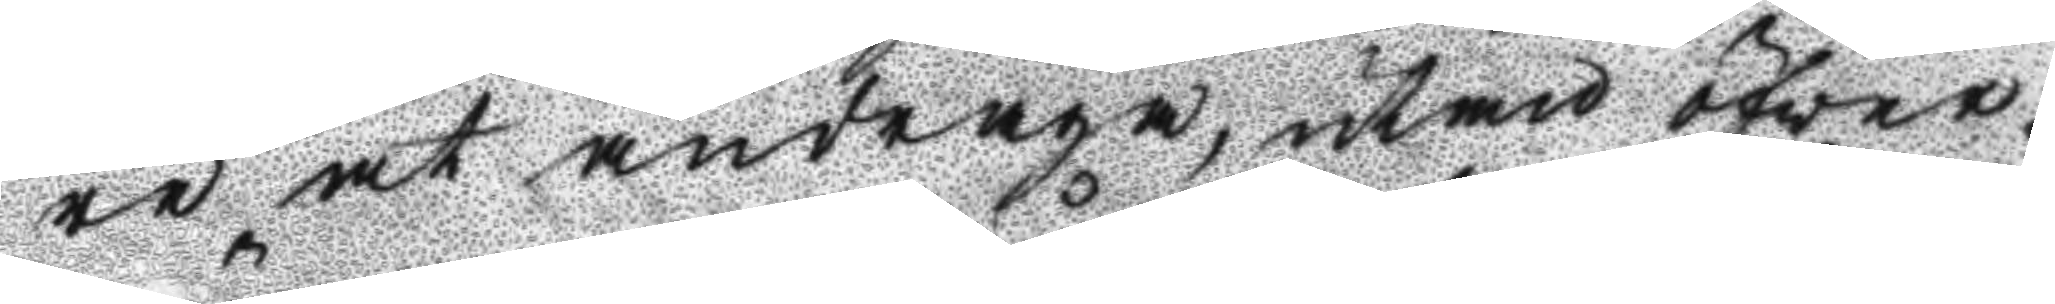re at andraga, utmed öfver¬
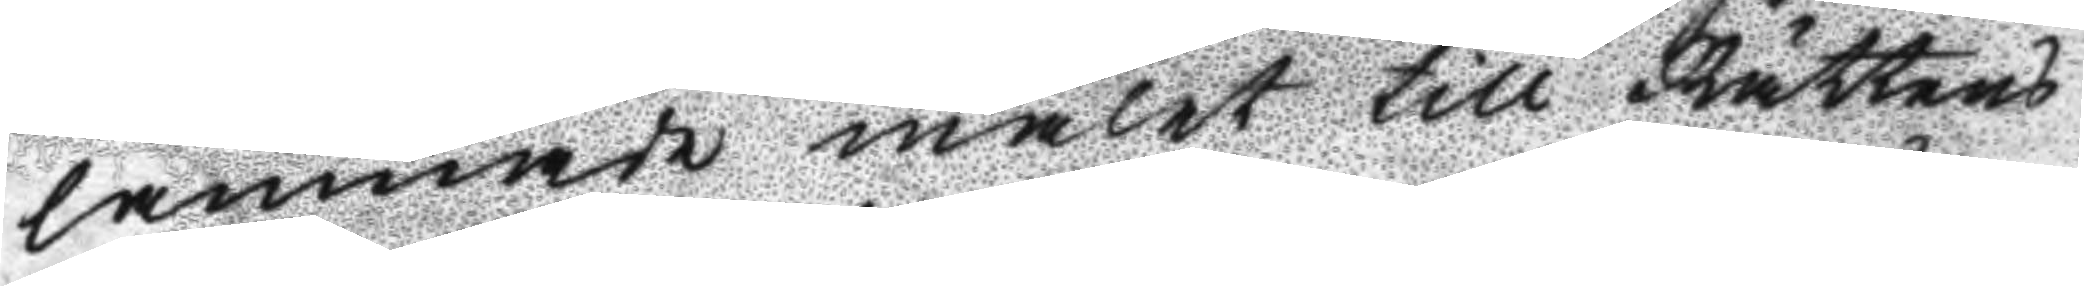lämnade målet till Rättens
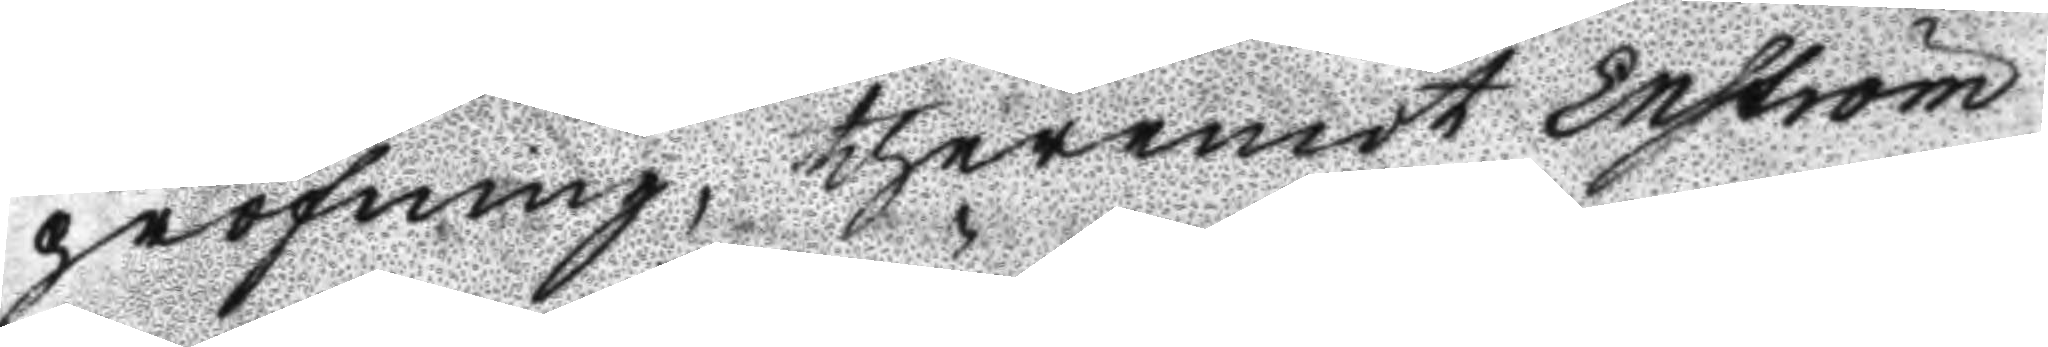pröfning, theremot Enström
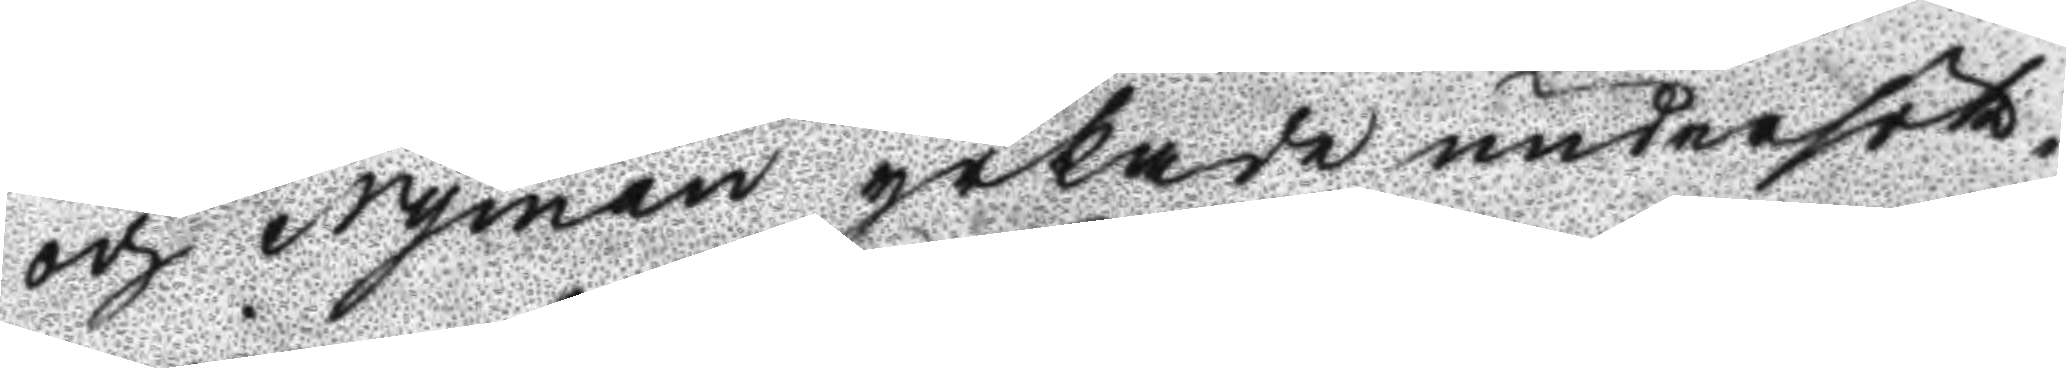och Nyman yrkade undersök¬
